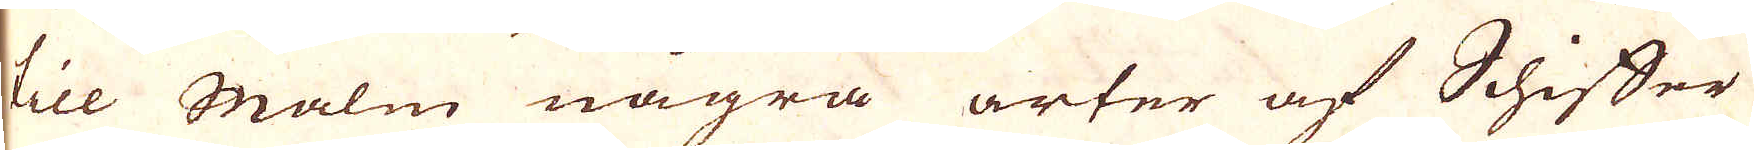till Malm några arter af Schiffer
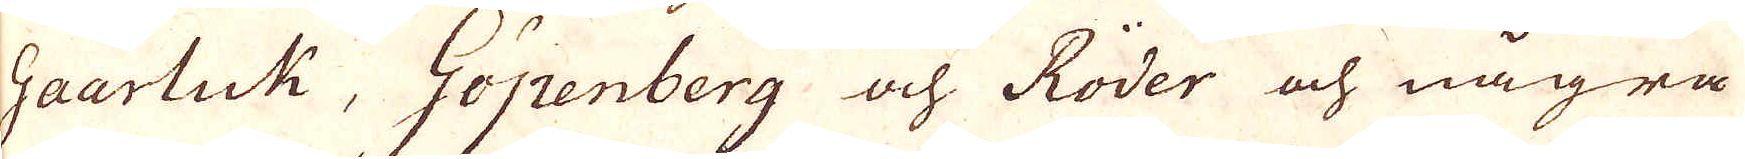Gaarluk, Göpenberg och Röder och några
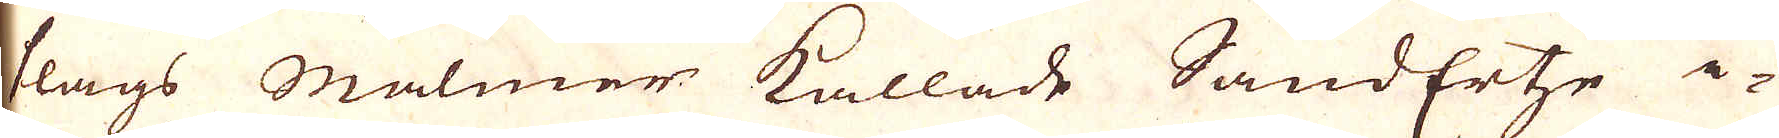slags Malmer kallade SandErtse i-
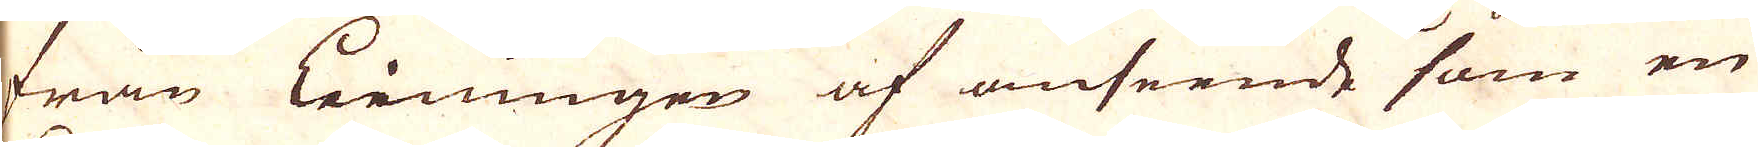från Leiningen af anseende som en
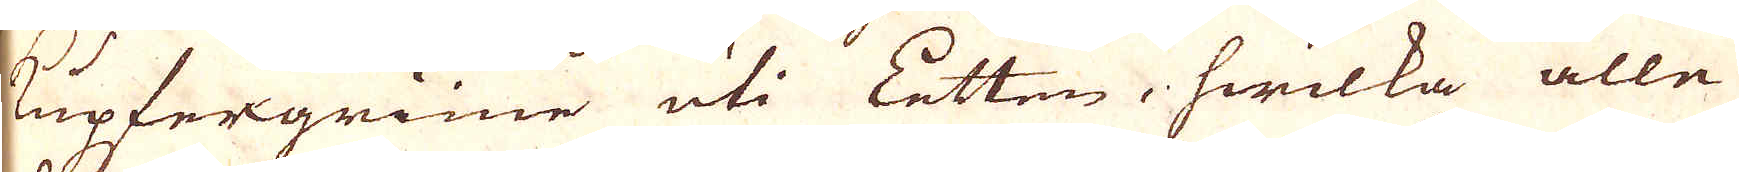Kupfergrüne uti Letten, hwilka alle
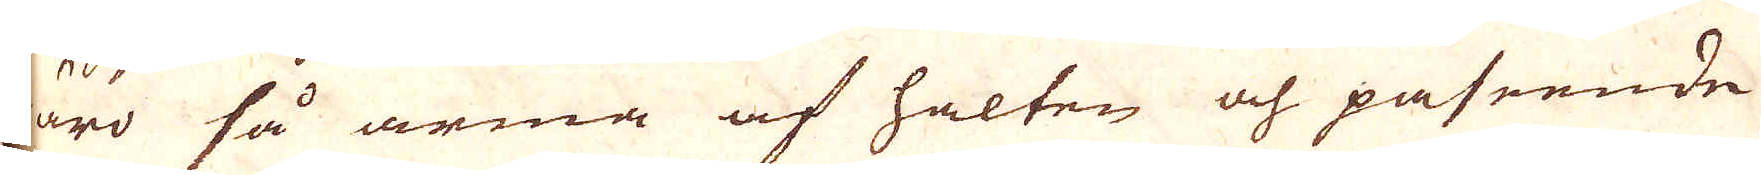äro så arma af halten och påseende
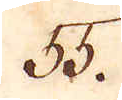55.
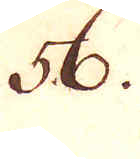56.
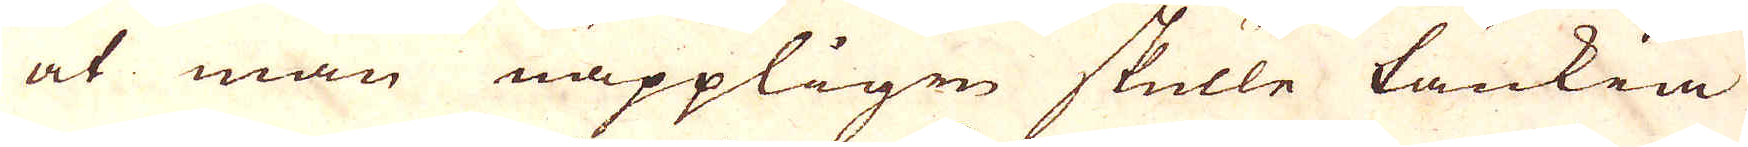at man näppligen skulle tänkia
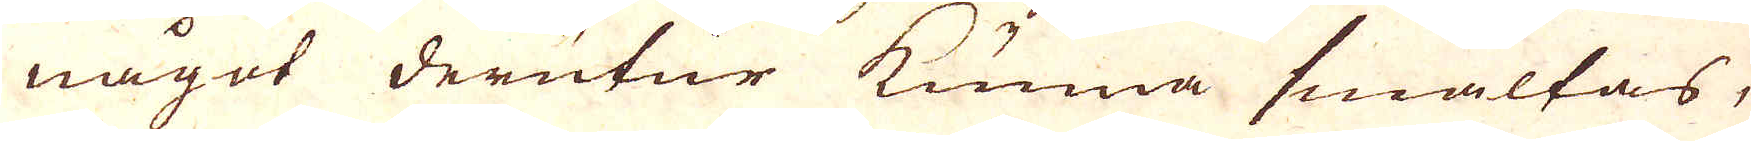något derutur kunna smältas,
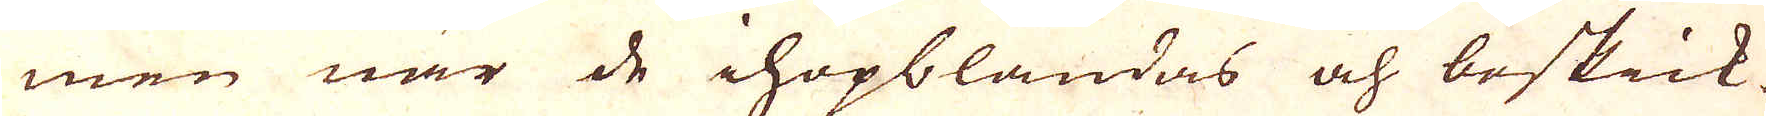men när de ihopblandas och beskick-
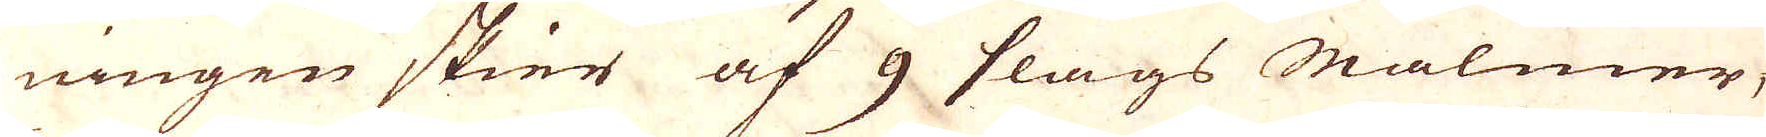ningen skier af 9 slags Malmer,
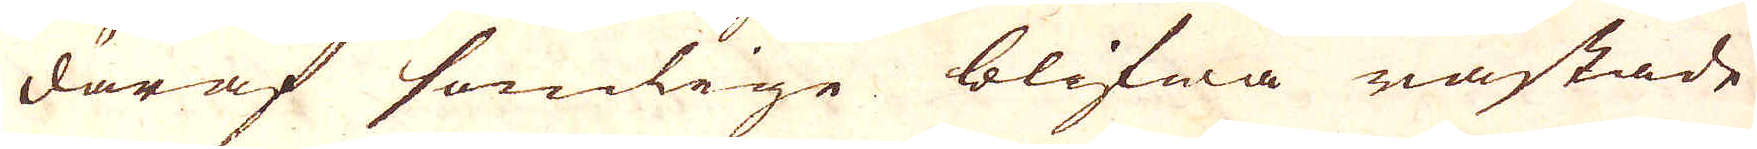däraf somlige blifwa råstade
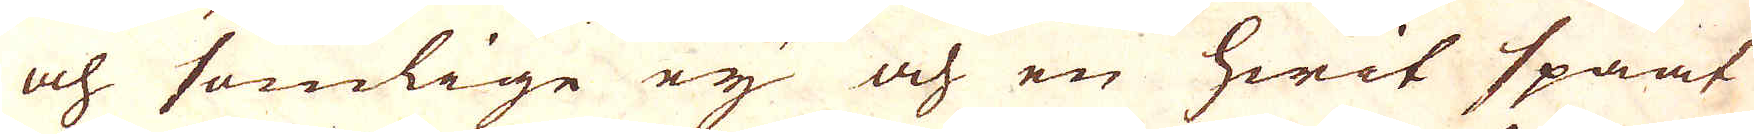och somlige ej och en hwit spaat
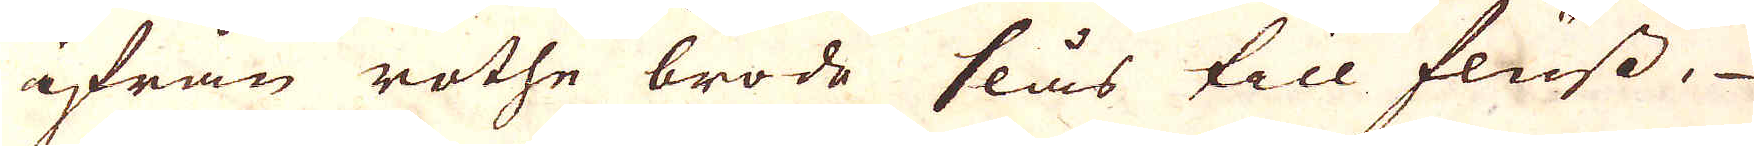ifrån rothe brode slås till fluss
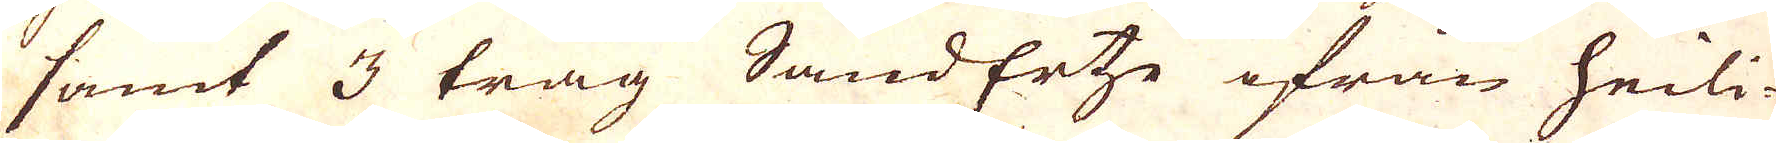samt 3 tråg SandErte ifrån heili-
